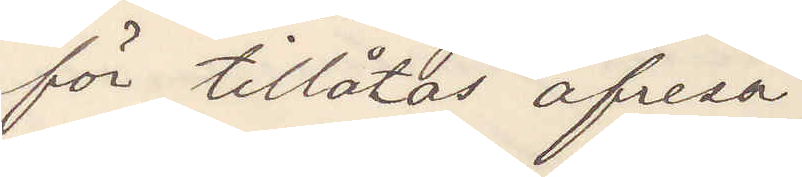för tillåtas afresa.
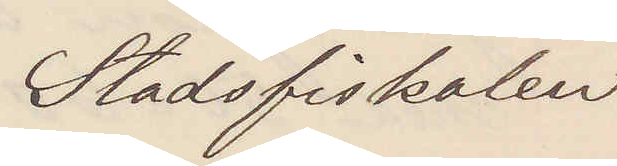Stadsfiskalen
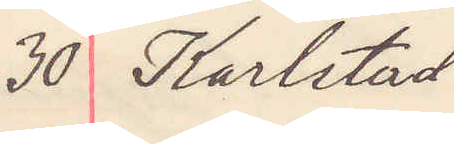30 Karlstad
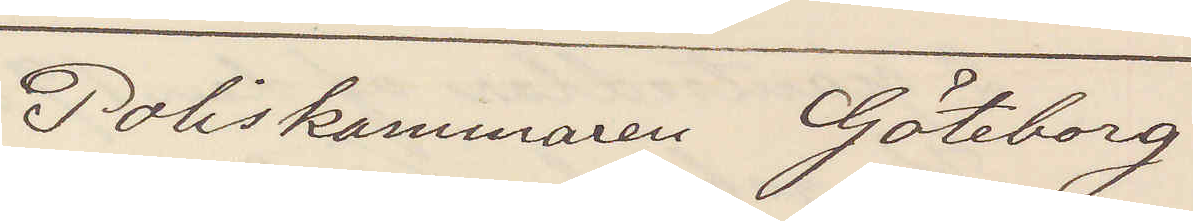Poliskammaren Göteborg
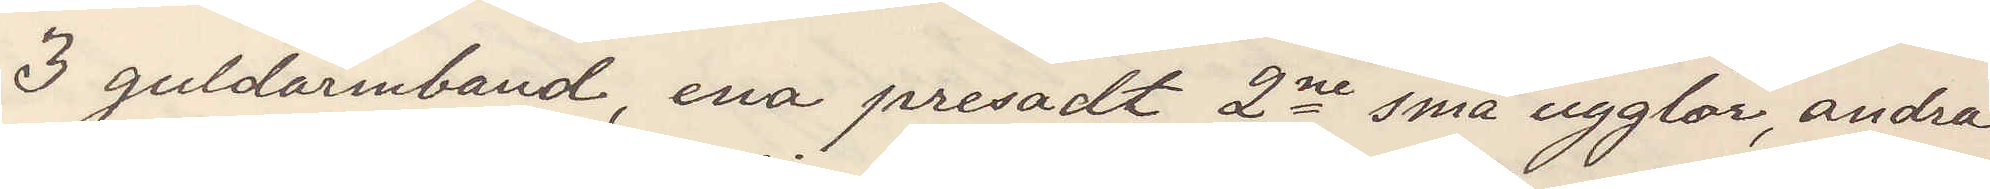3 guldarmband, ena presadt 2ne små ugglor, andra
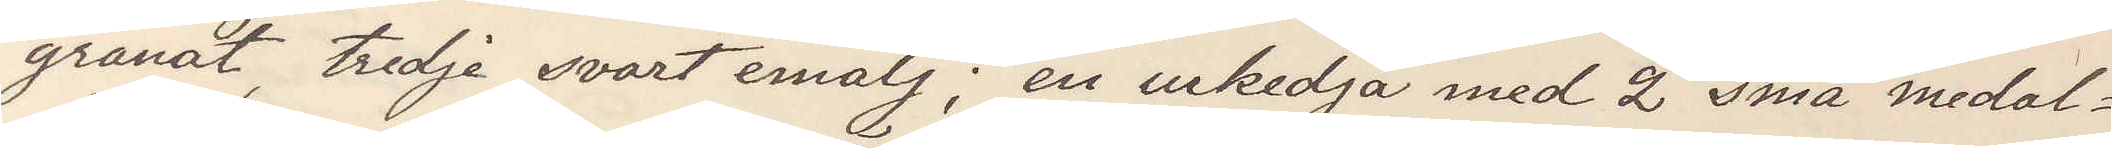granat, tredje svart emalj; en urkedja med 2 små medal¬
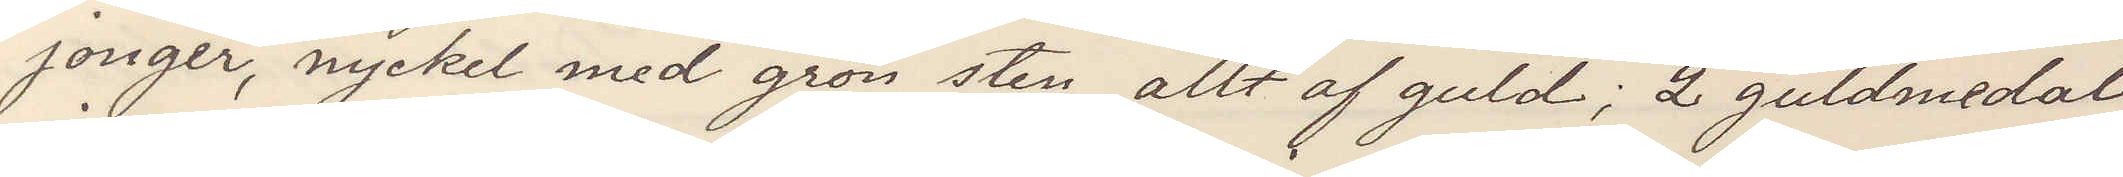jonger, nyckel med grön sten, allt af guld; 2 guldmedal¬
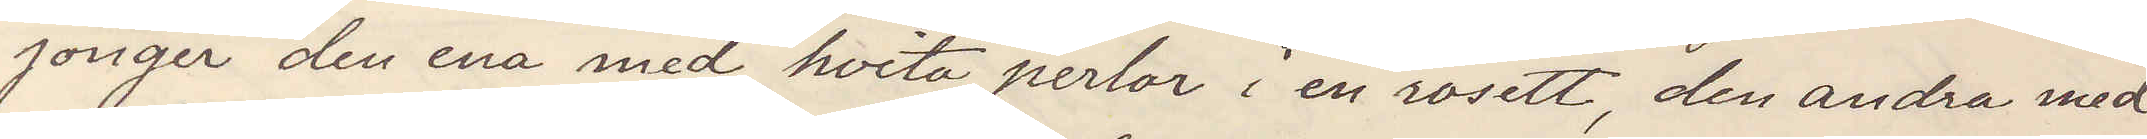jonger den ena med hvita perlor en rosett, den andra med
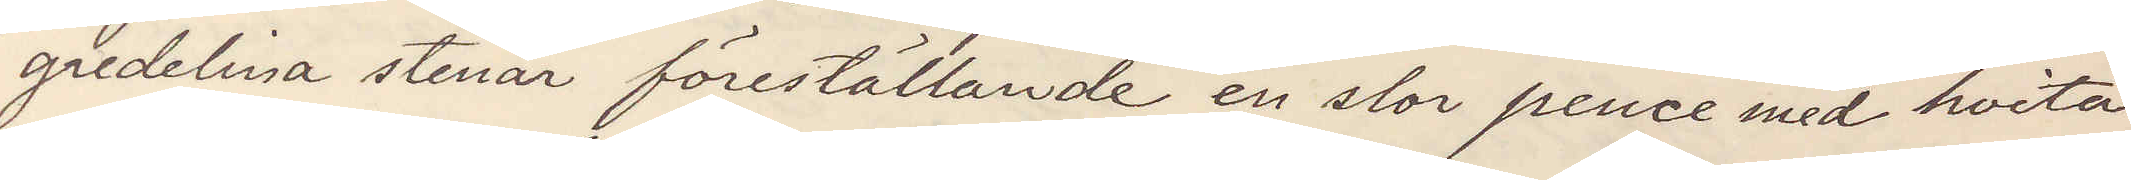gredelina stenar föreställande en stor pence med hvita
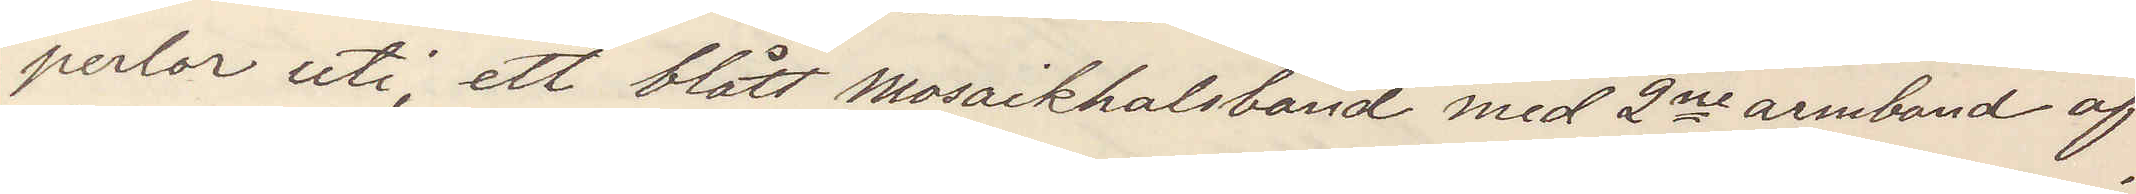perlor uti; ett blått mosaikhalsband med 2ne armband af
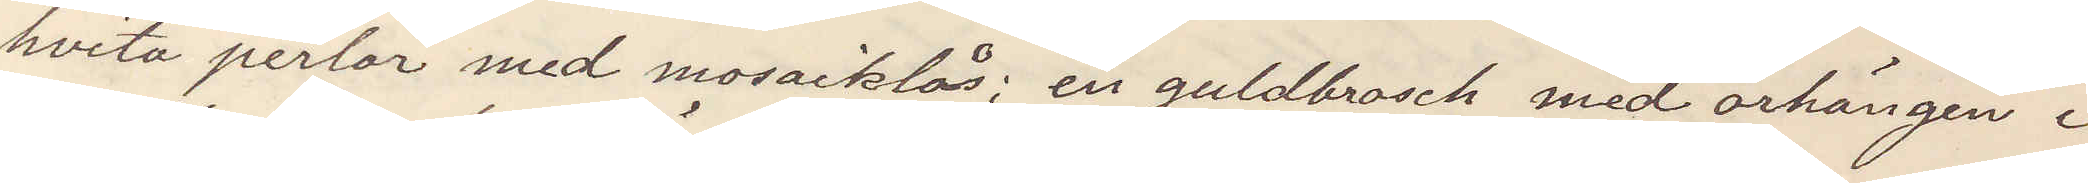hvita perlor med mosaiklås; en guldbrosch med örhängen i
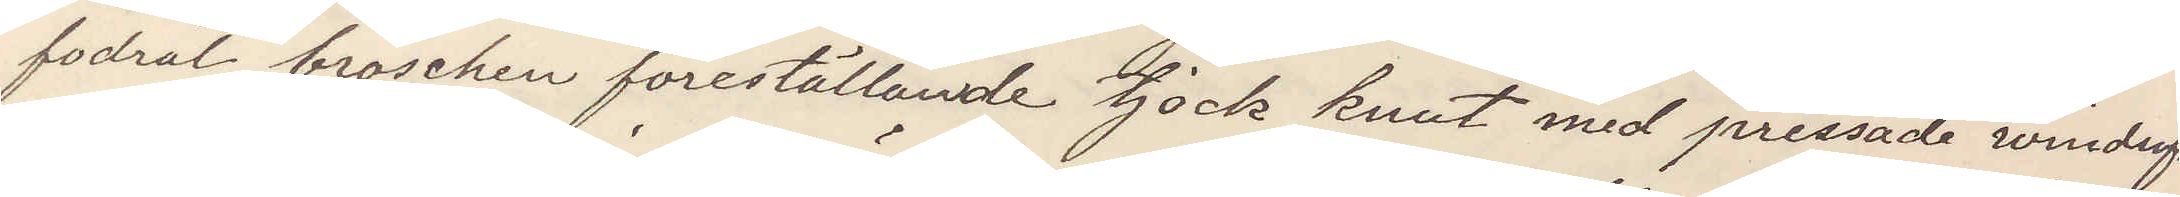fodral broschen föreställande tjock knut med pressade windrufs¬
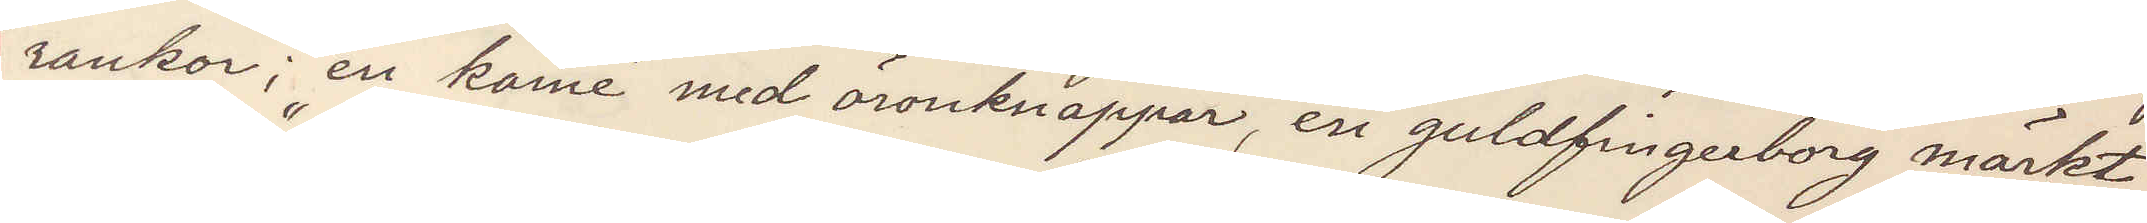rankor; en kamé med öronknappar, en guldfingerborg märkt
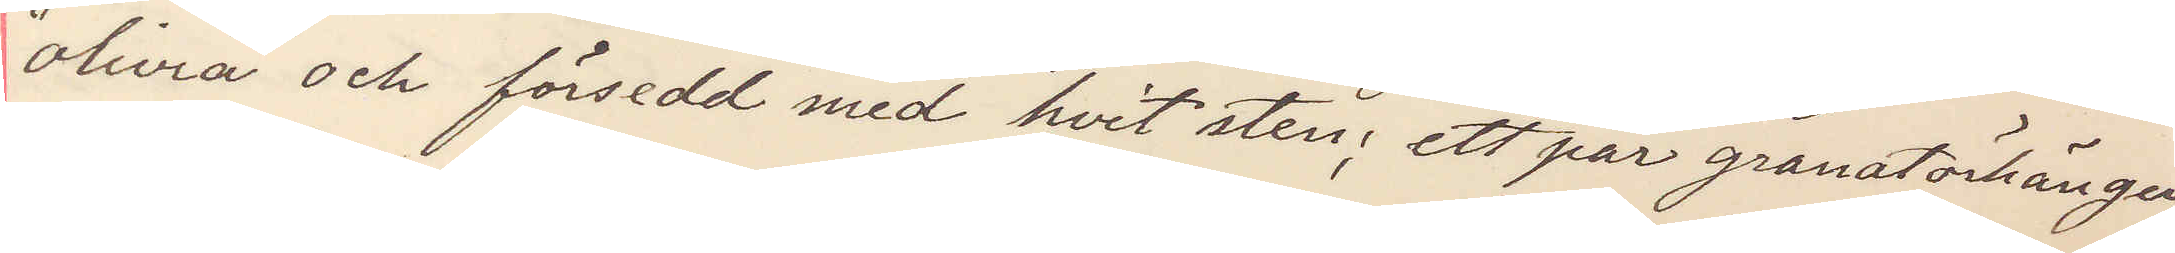"Olivia" och försedd med hvit sten; ett par granatörhängen
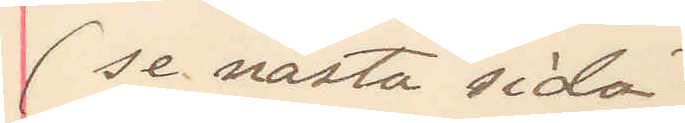(se nästa sida)
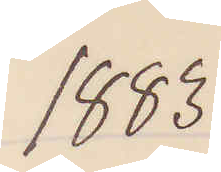1883
